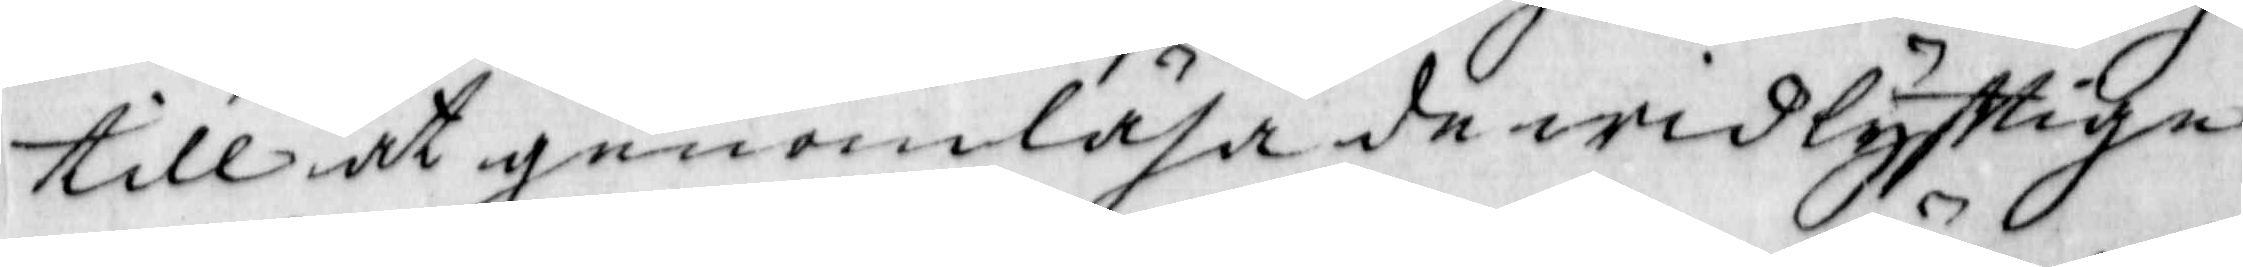till at genomläsa de widlyfttige
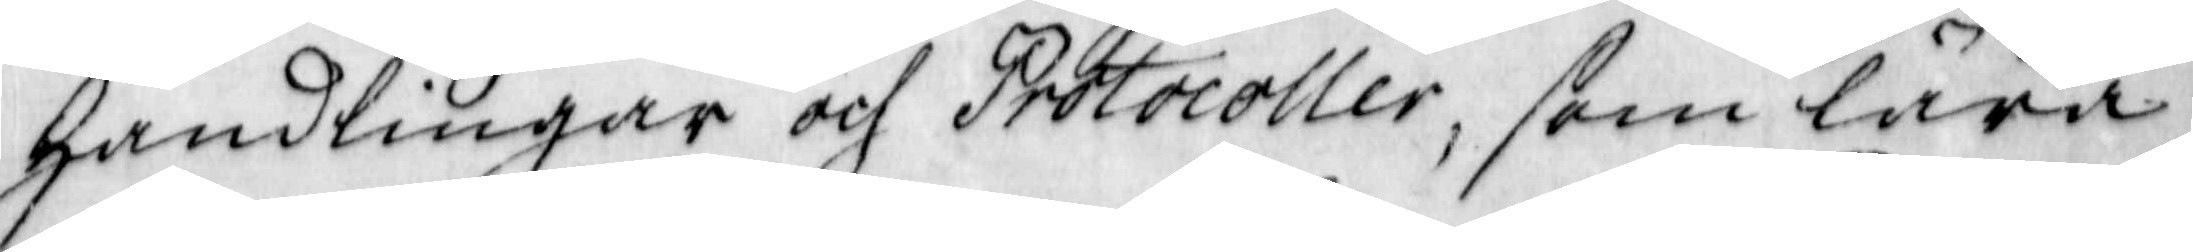handlingar och Protocoller, som lära
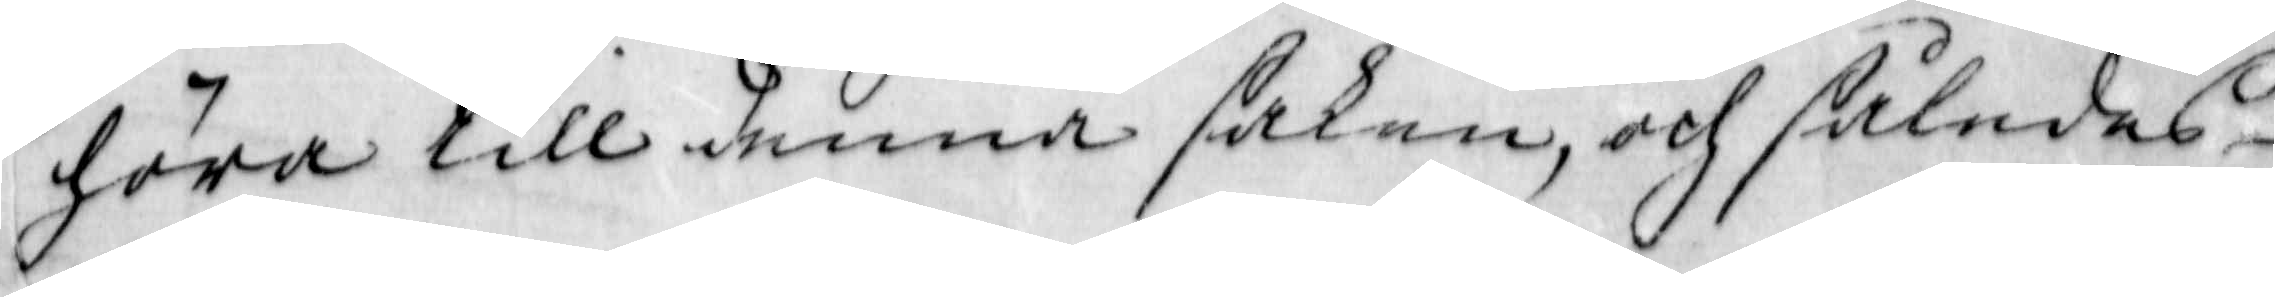höra till denna saken, och således
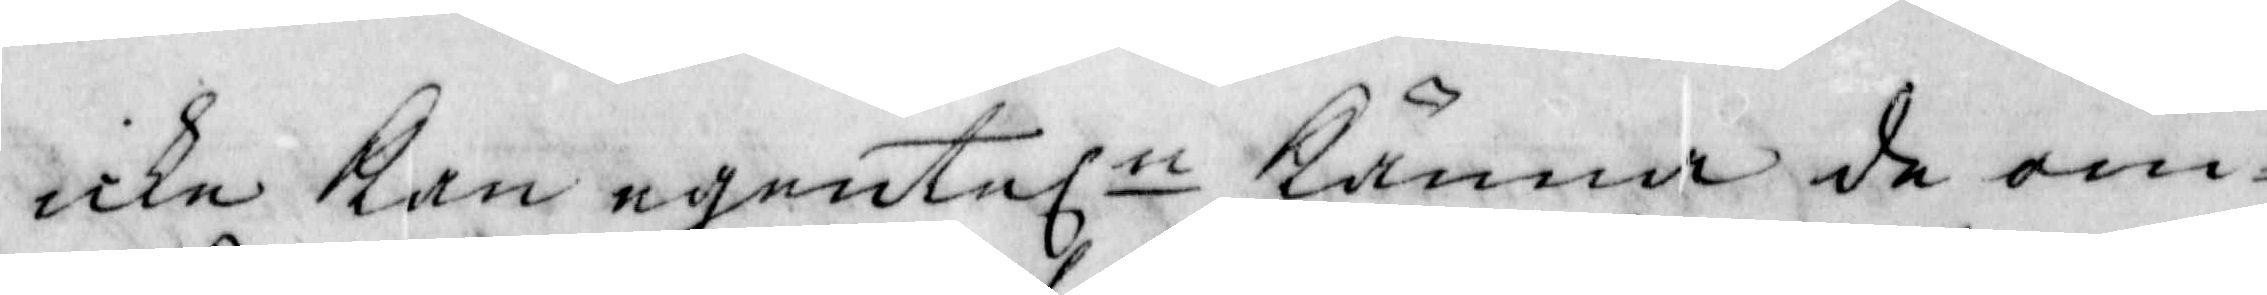icke Kan egenteln kanna de om¬
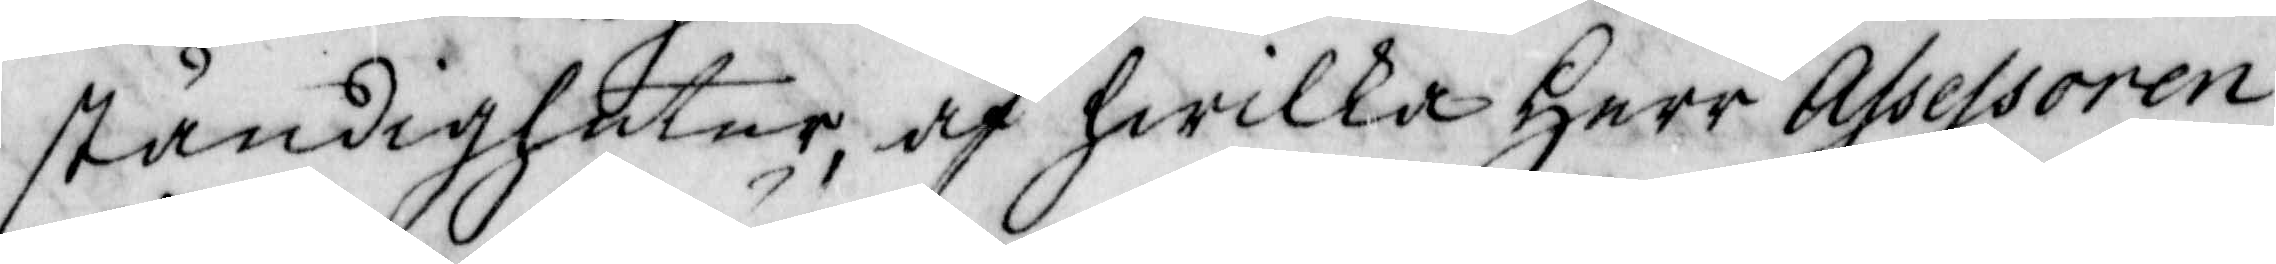ständigheter, af hwilka Herr Assessoren
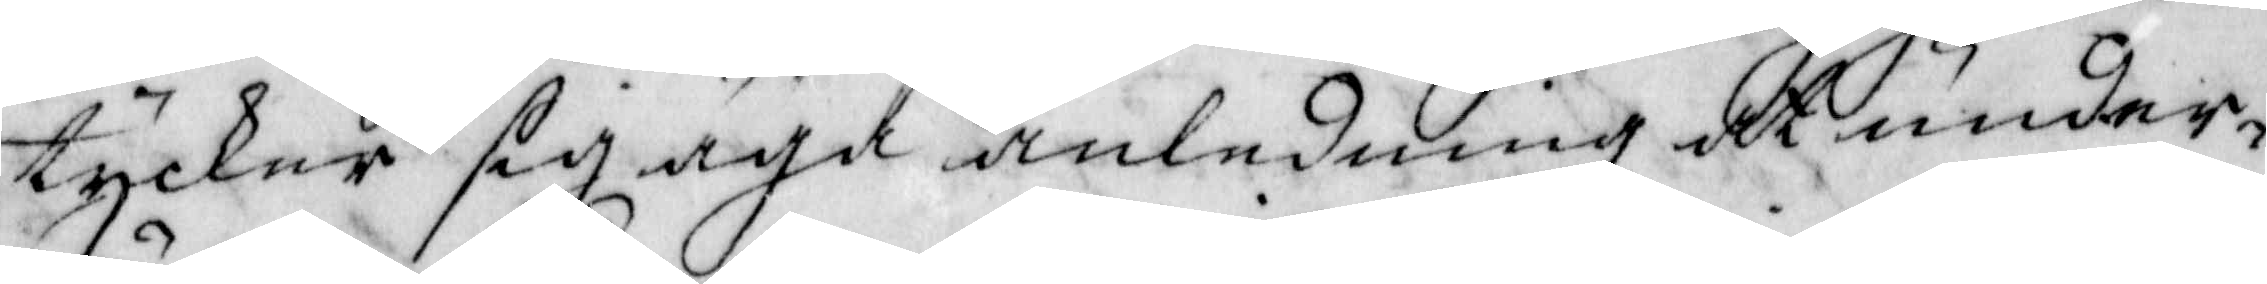tycker sig äga anledning att under¬
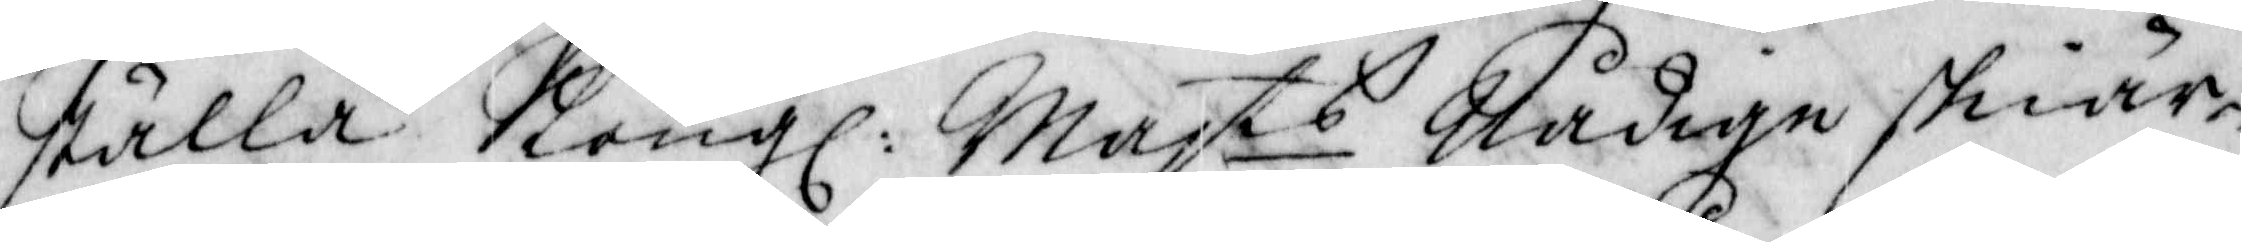ställa Kongl. Majts Nådige skiär¬
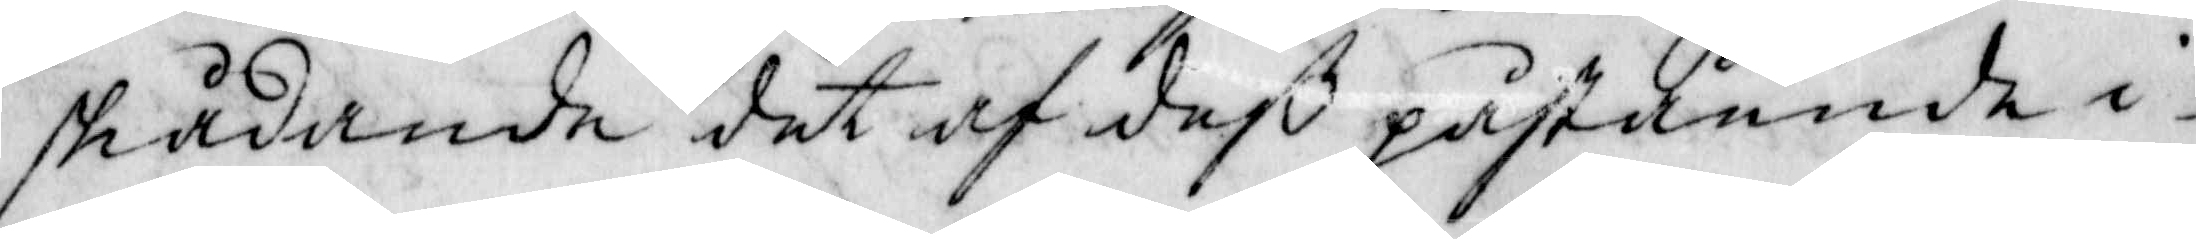skådande det af deß påstående i 
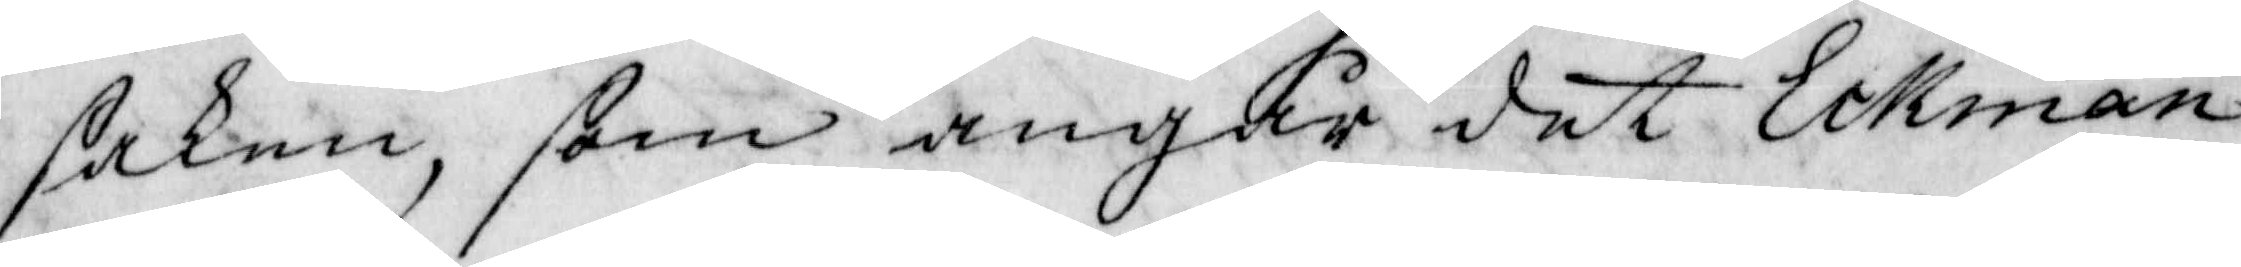saken, som angår det Eckman
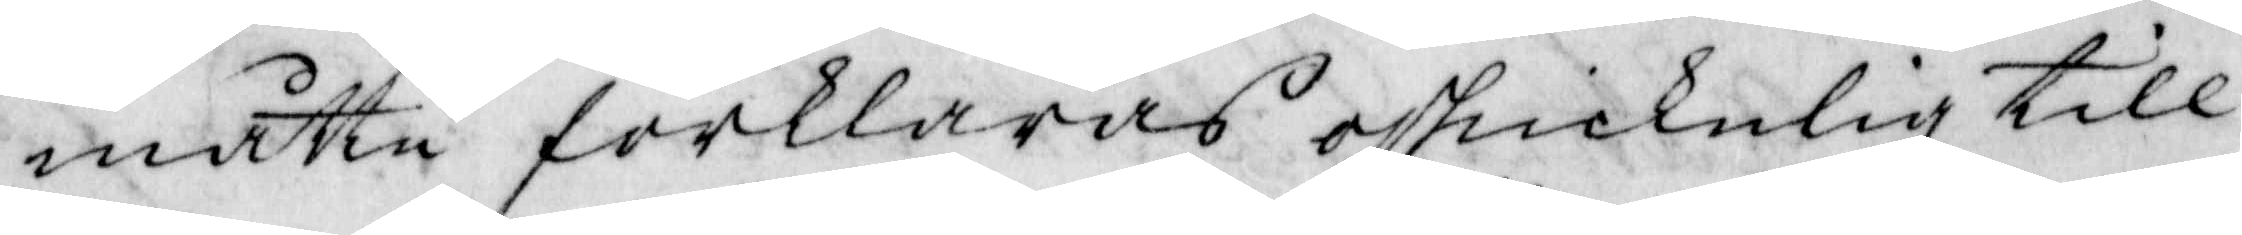måtte forklaras oskickelig till
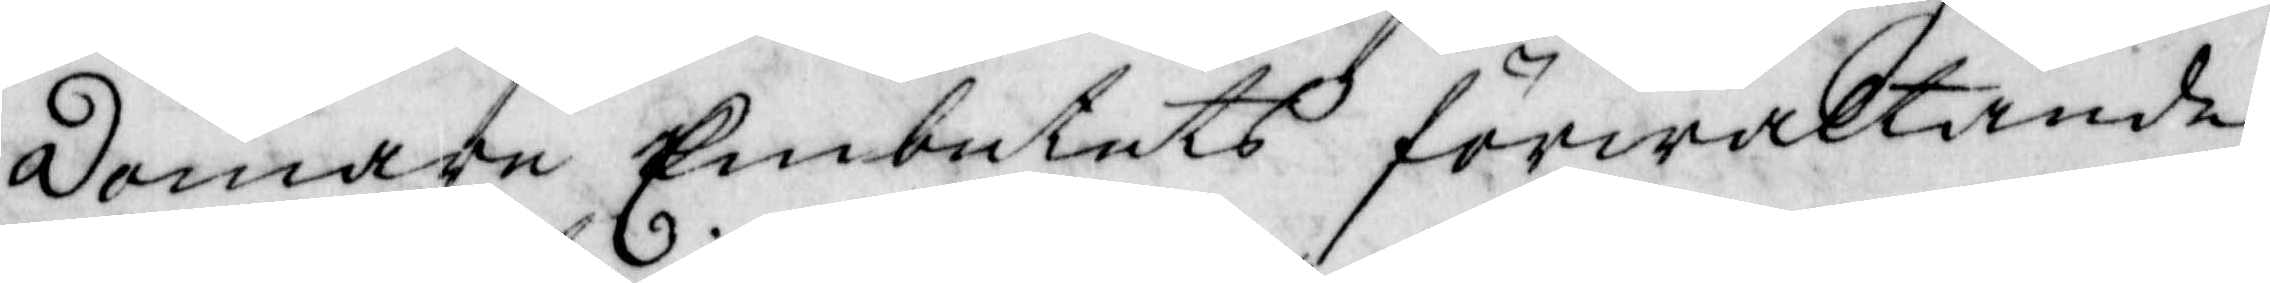domare Embetets förwaltande,
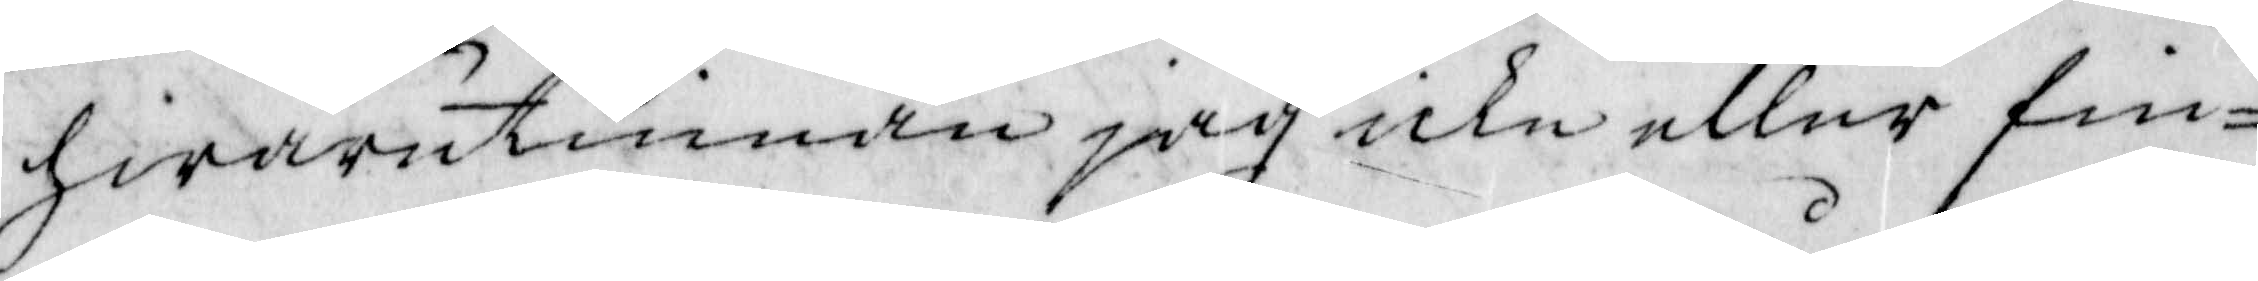hwarutinnan jag icke eller fin¬
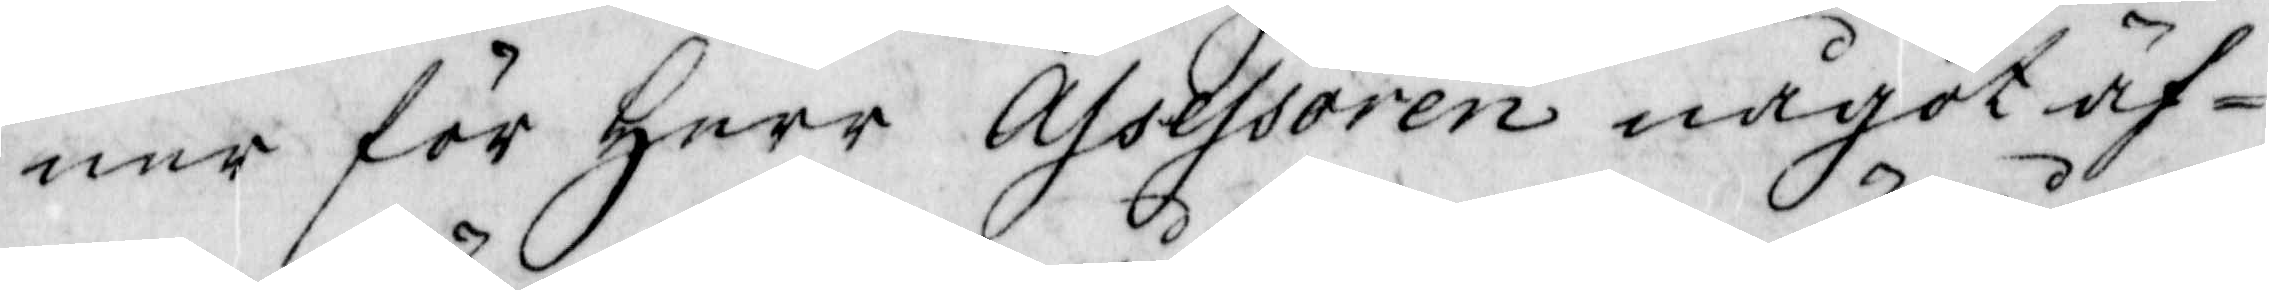ner för Herr Assessoren något äf¬
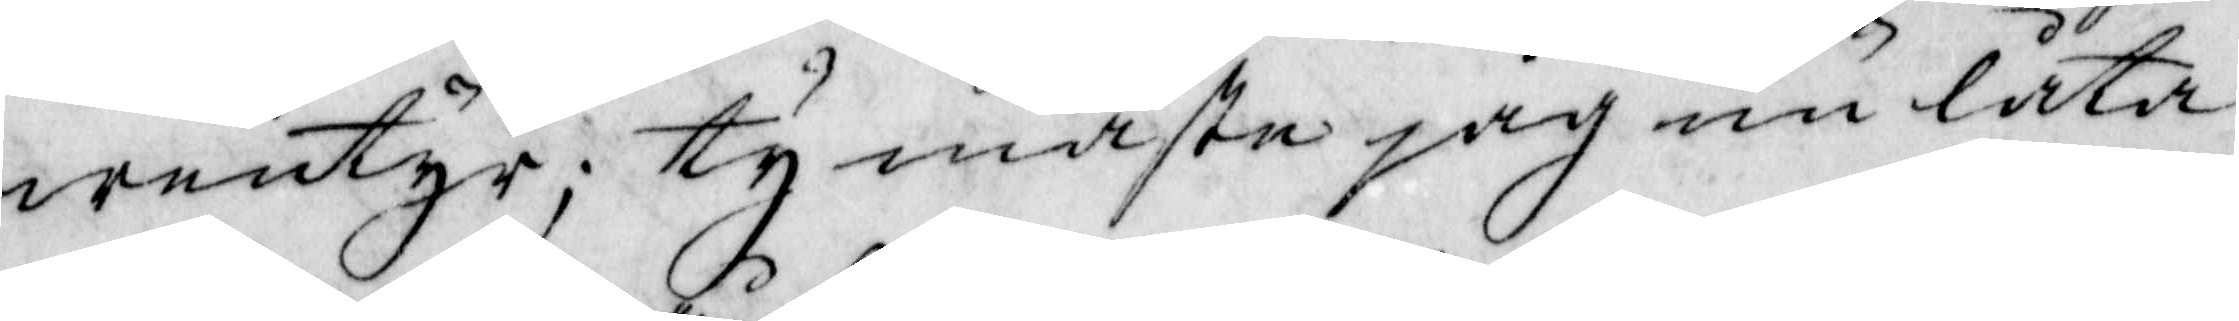wentyr; ty måste jag nu låta
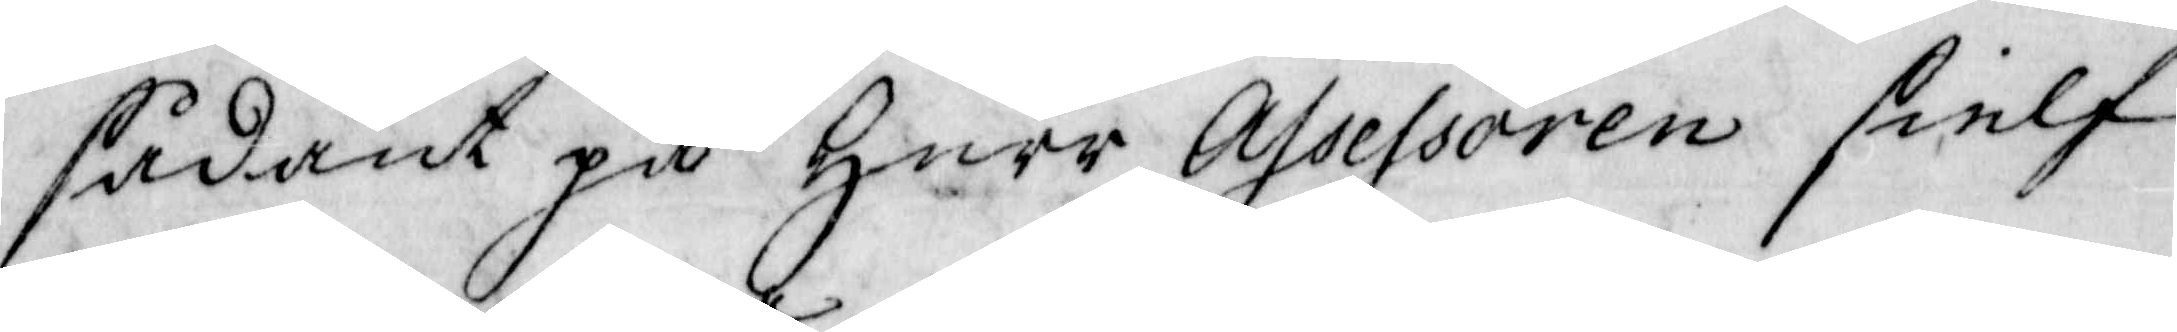sådant på Herr Assessoren sielf
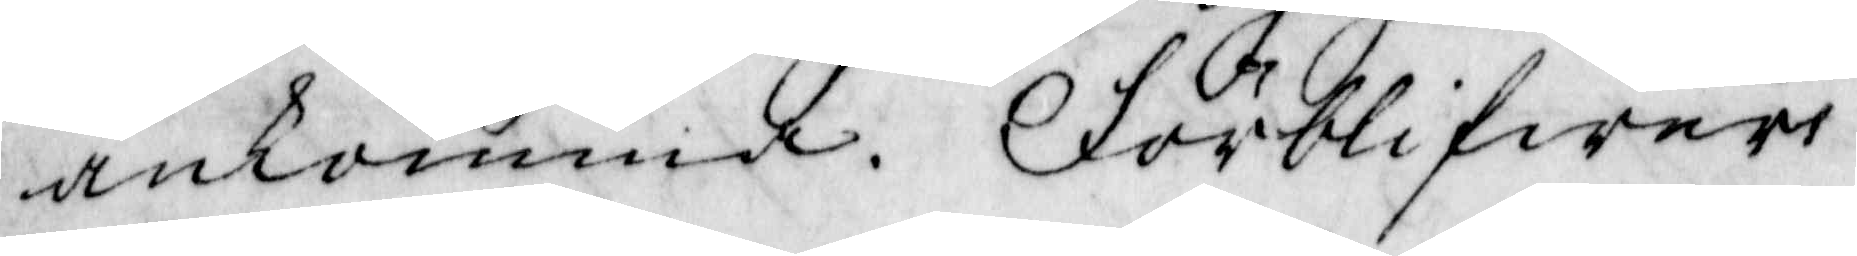ankomma. Förblifwer
